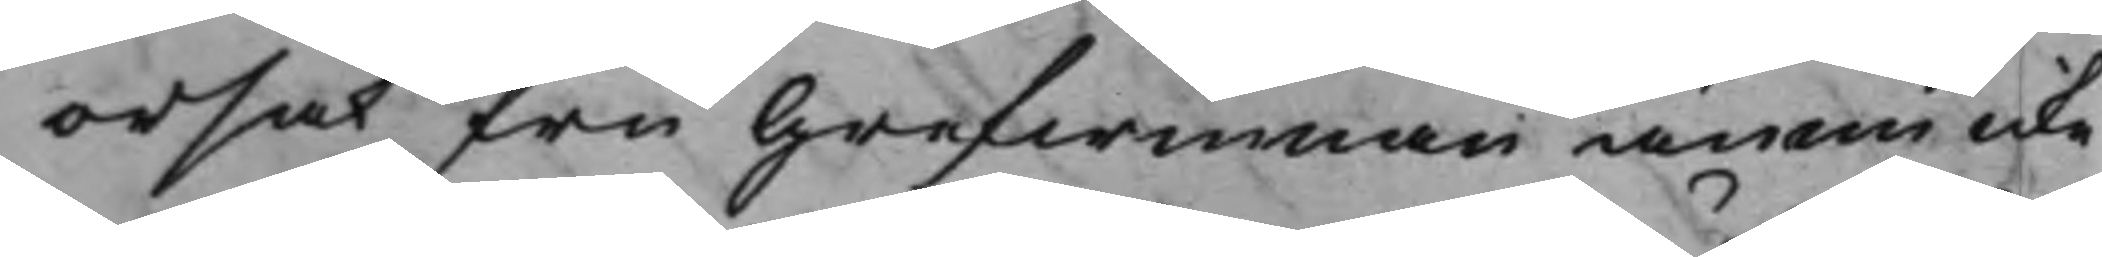orsak fru Grefwinnan ännu icke
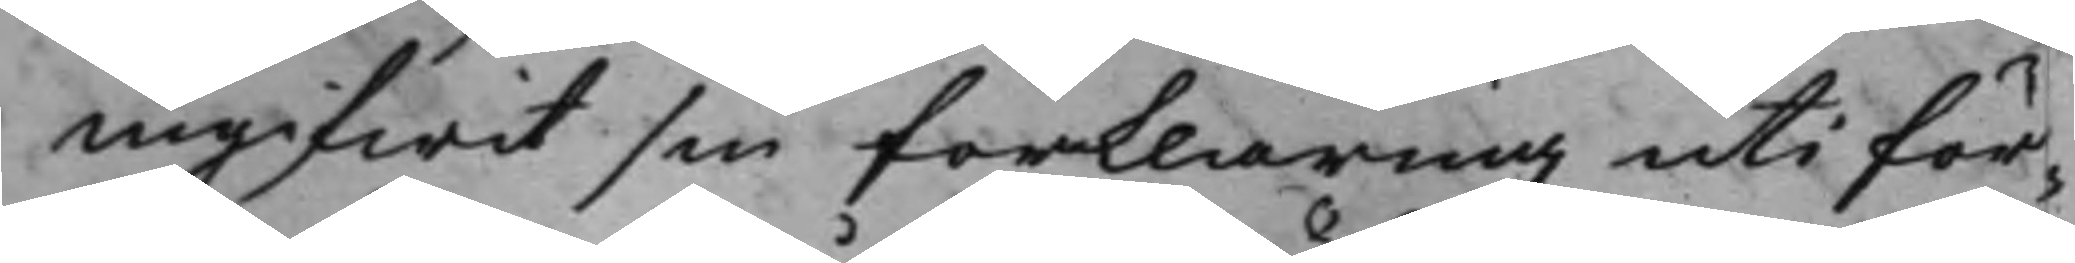ingifwit sin förklaring uti för¬
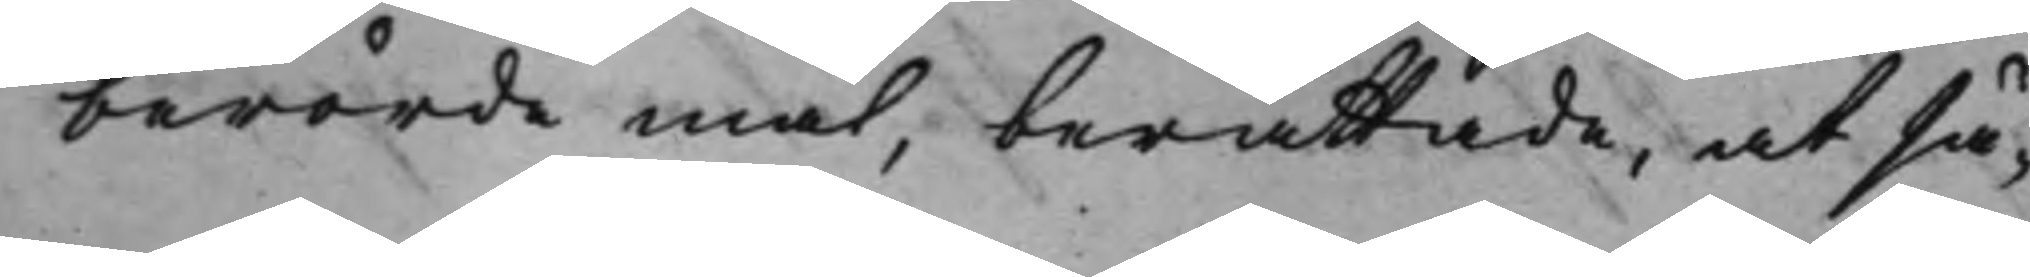berörde mål, berättade, at så¬
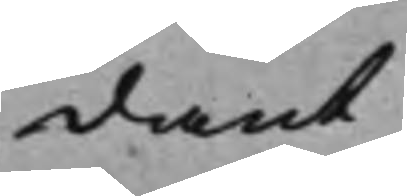dant
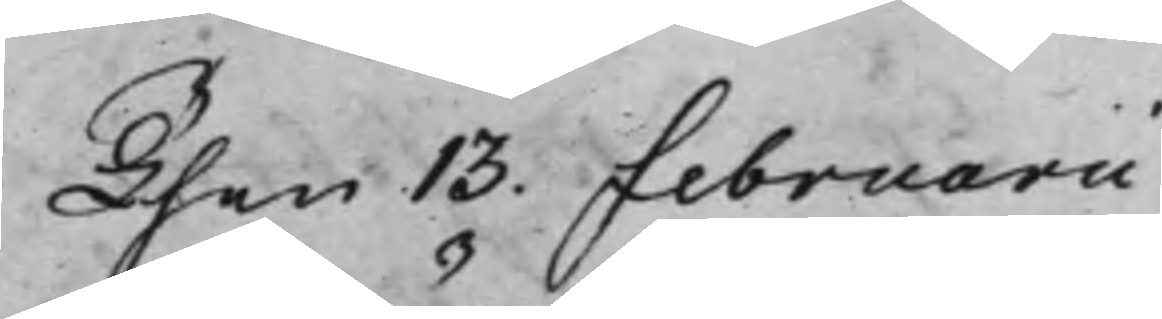Then 13. Februarii
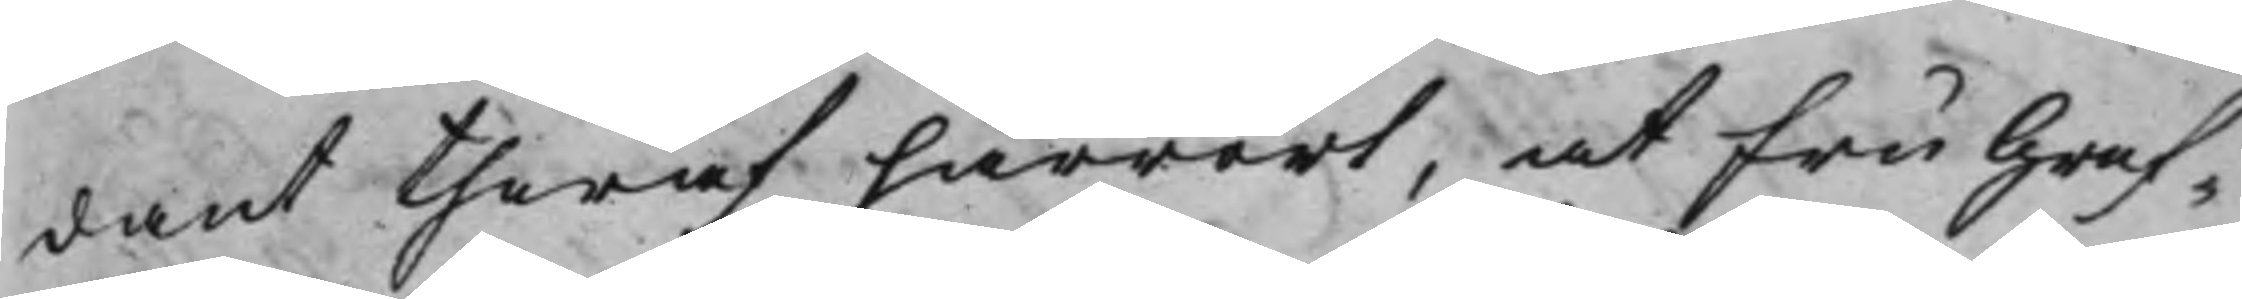dant theraf härrört, at Fru Gref¬
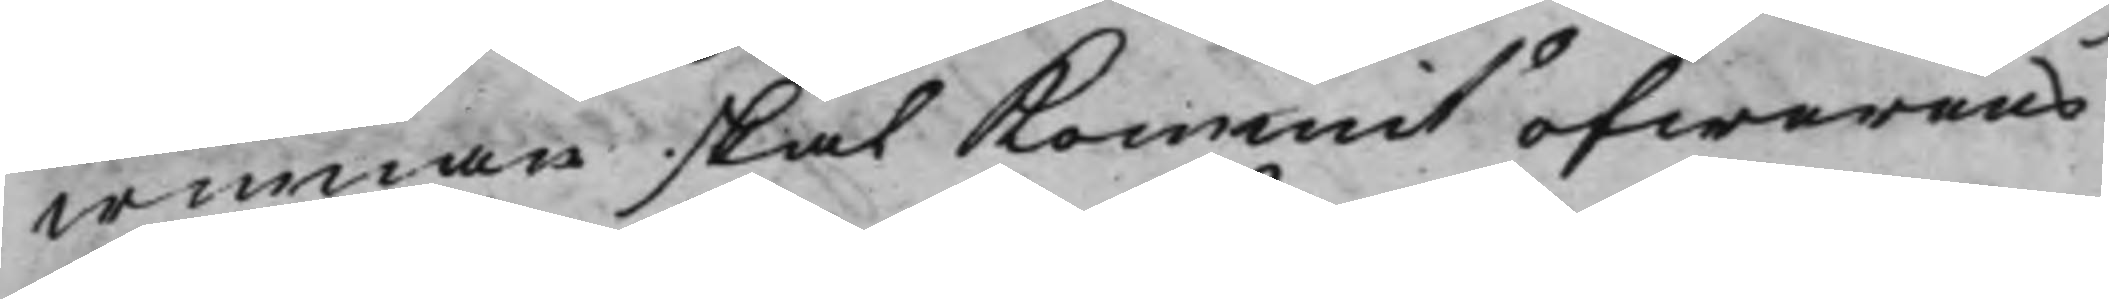winnan skal Kommit öfwerens
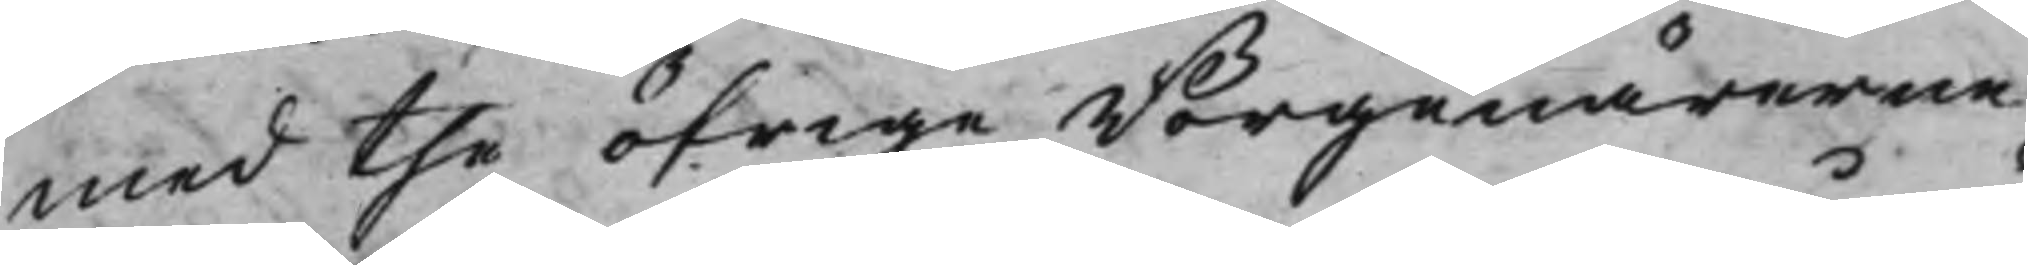med the öfrige Borgenärerne
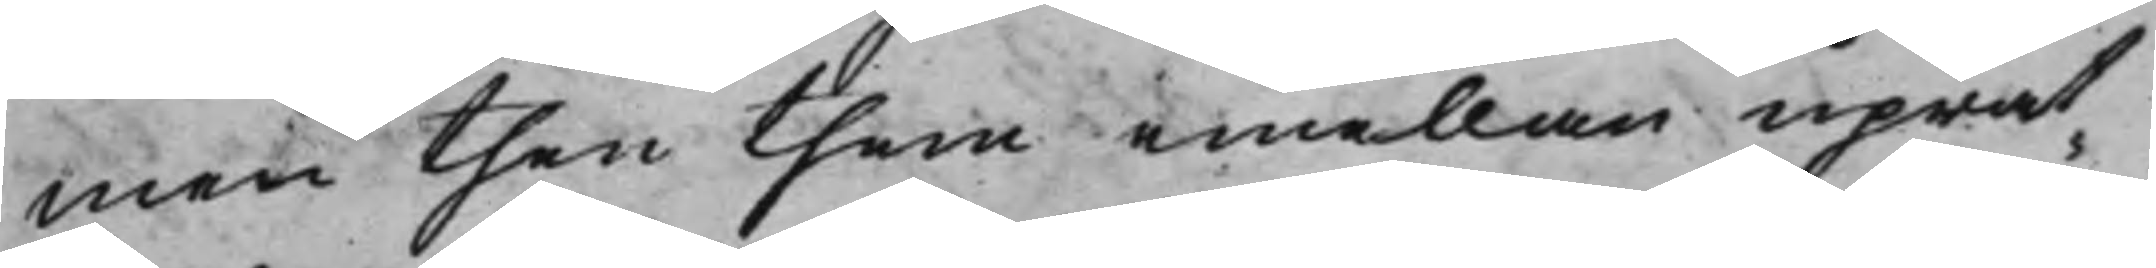men then them emellan uprät¬
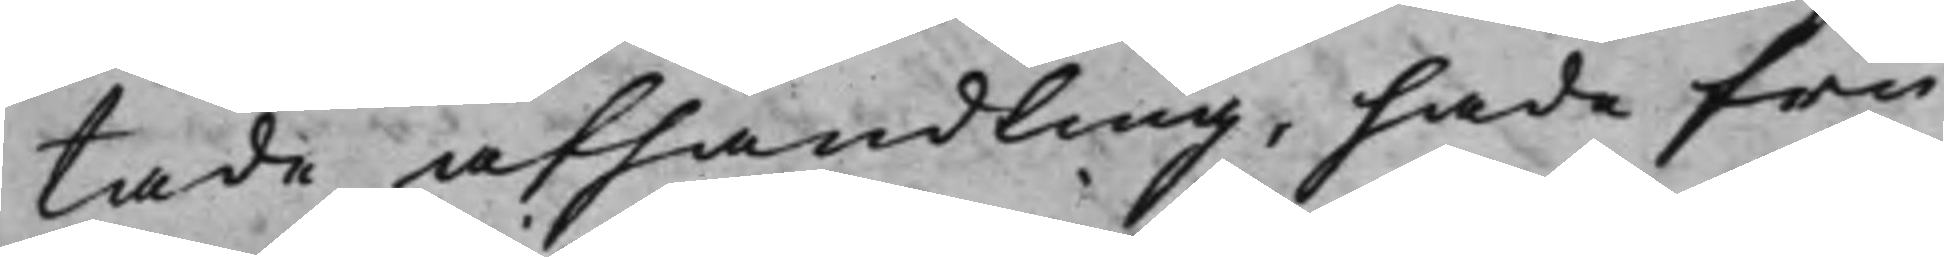tade afhandling, hade fru
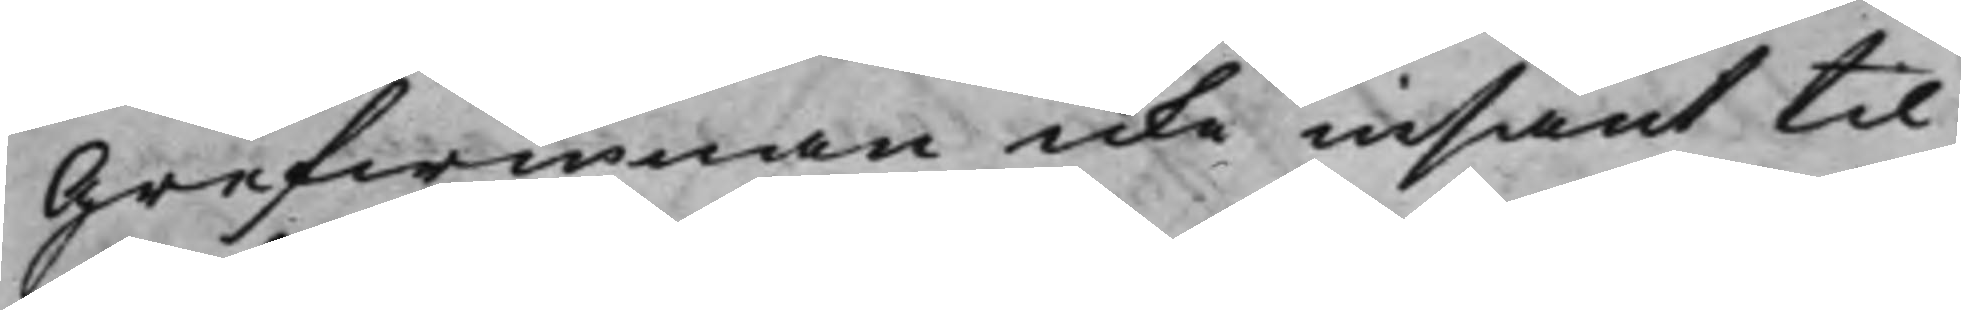Grefwinnan icke insänt til
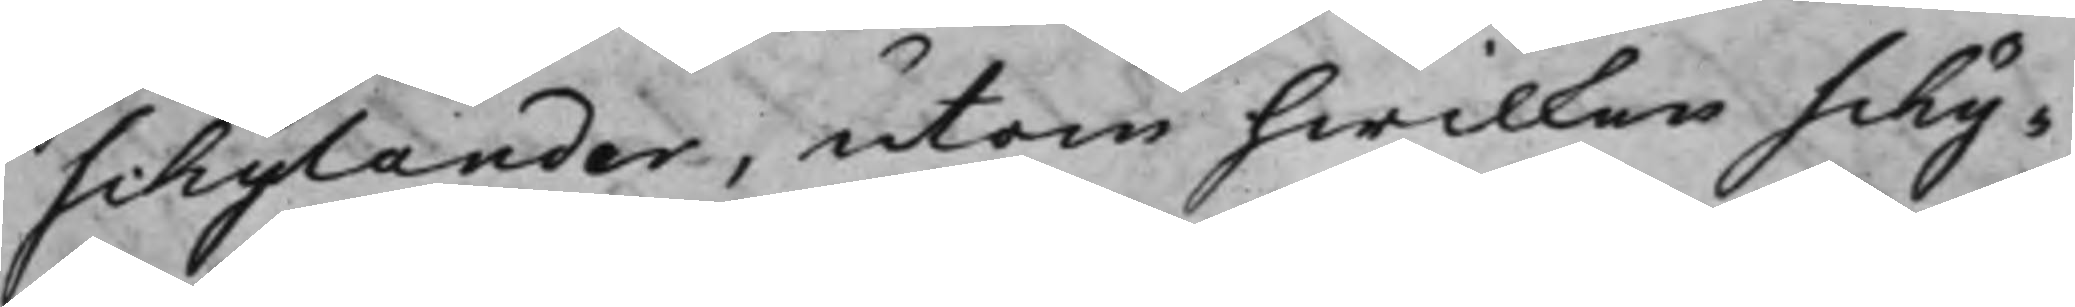Schylander, utan hwilken Schy¬
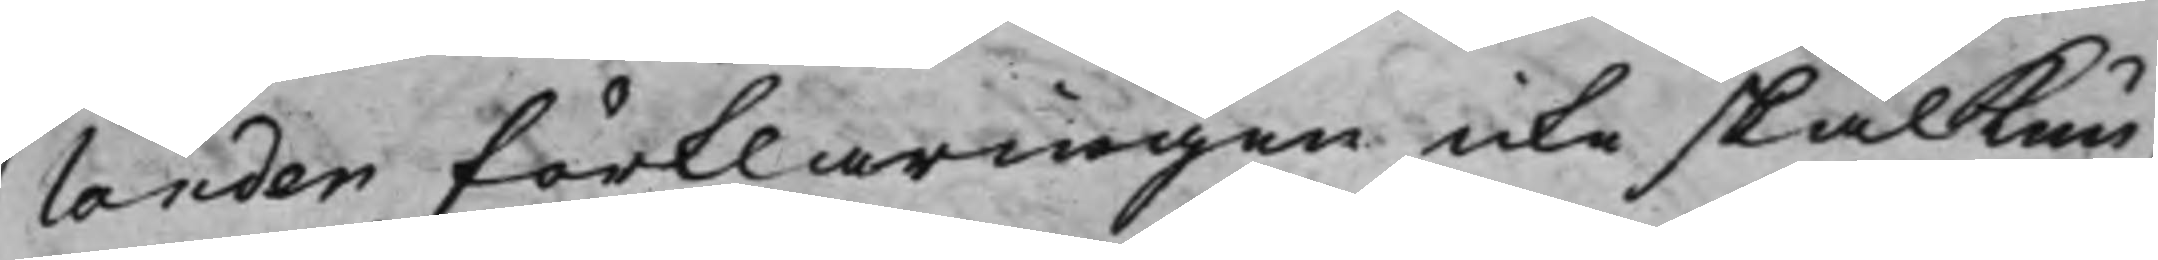lander förklaringen icke skal Kun¬
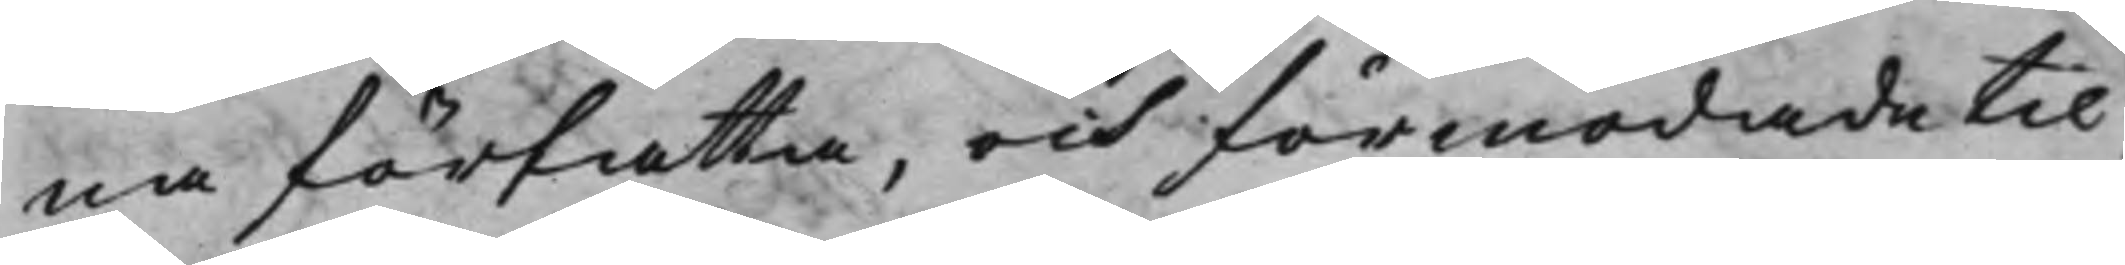na författa, och förmodade til¬
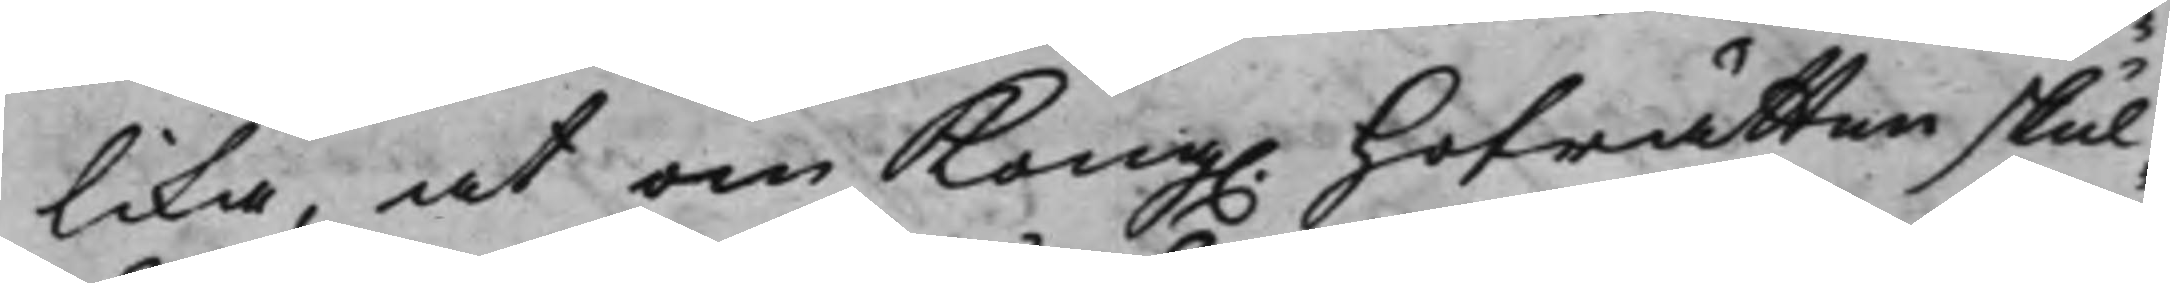lika, at om Kong. Hofrätten skul¬
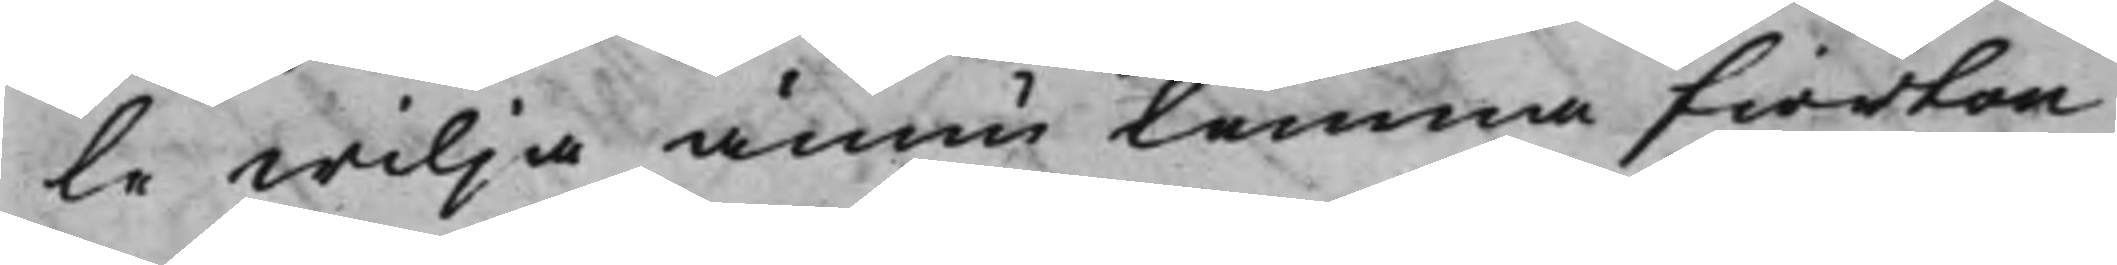le wilja ännu lemna fiorton
